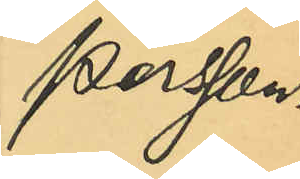Persson
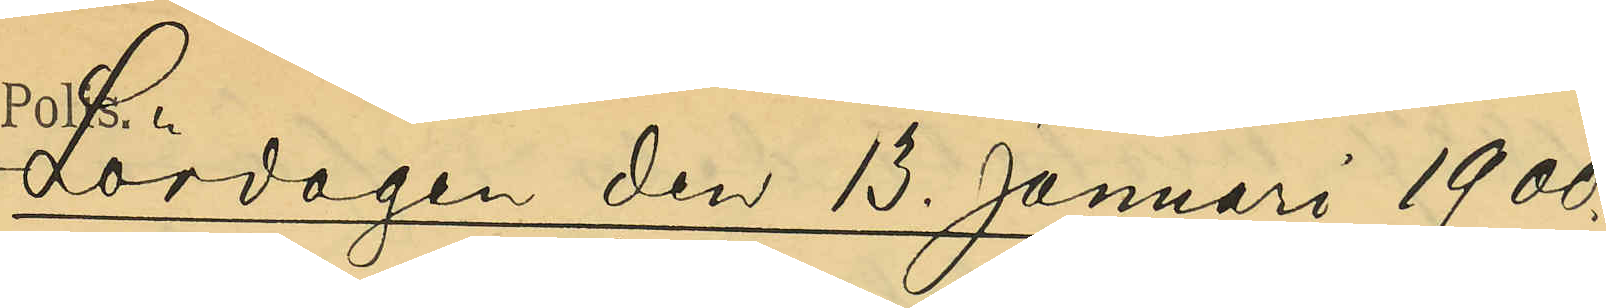Lördagen den 13 Januari 1900.
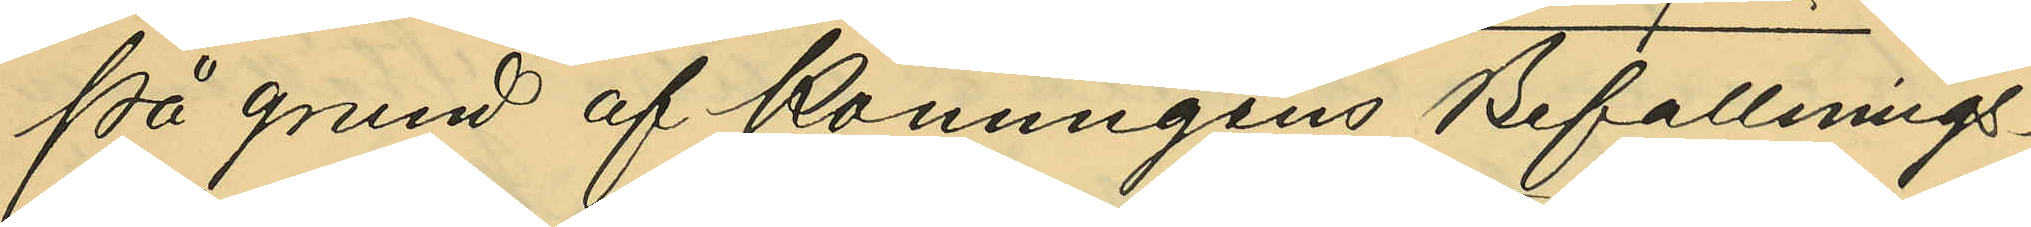På grund af Konungens Befallnings¬
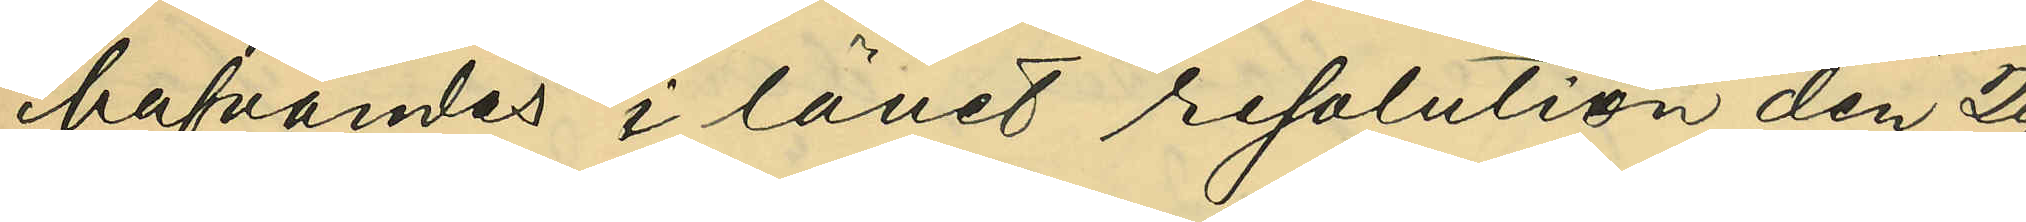hafvandes i länet resolution den 29
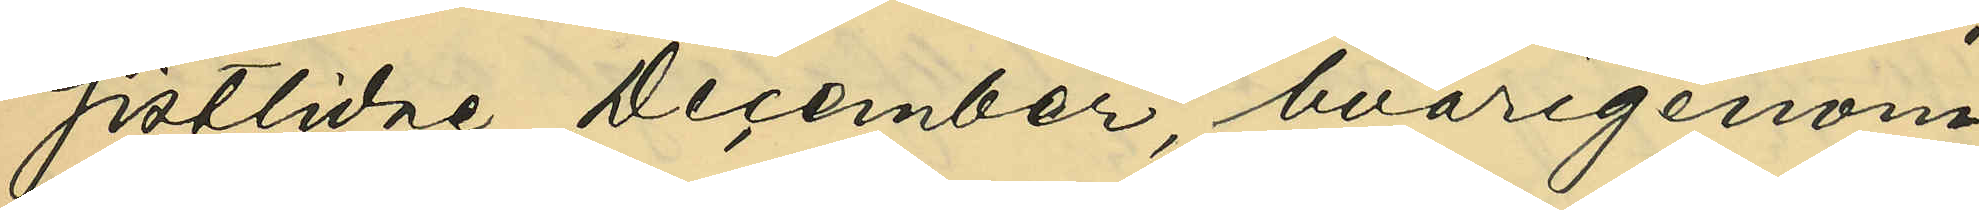sistlidne December, hvarigenom
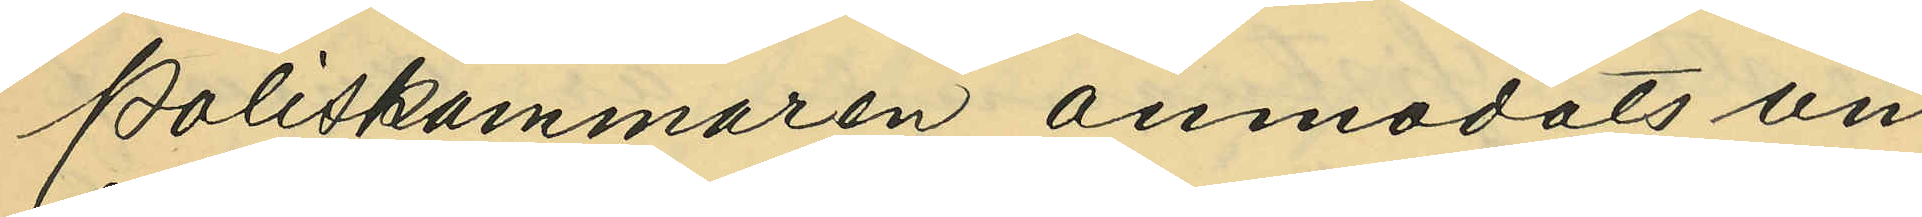Poliskammaren anmodats un¬
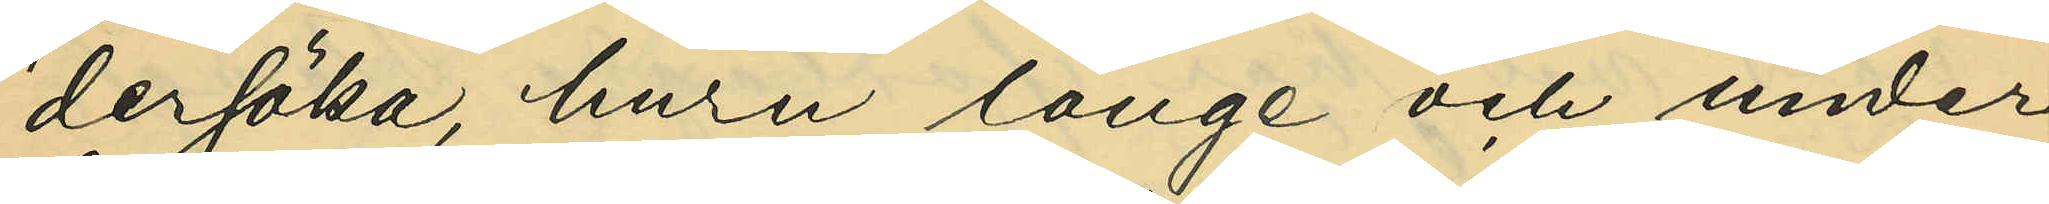dersöka, huru länge och under
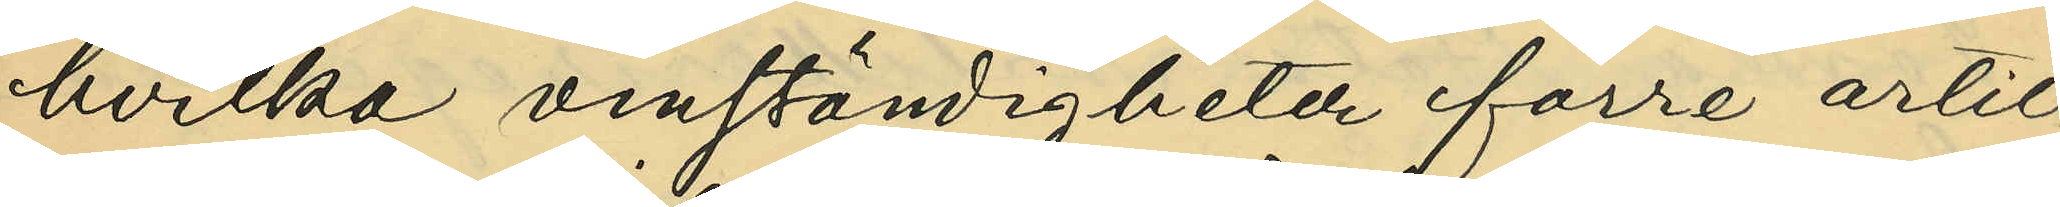hvilka omständigheter förre artil¬
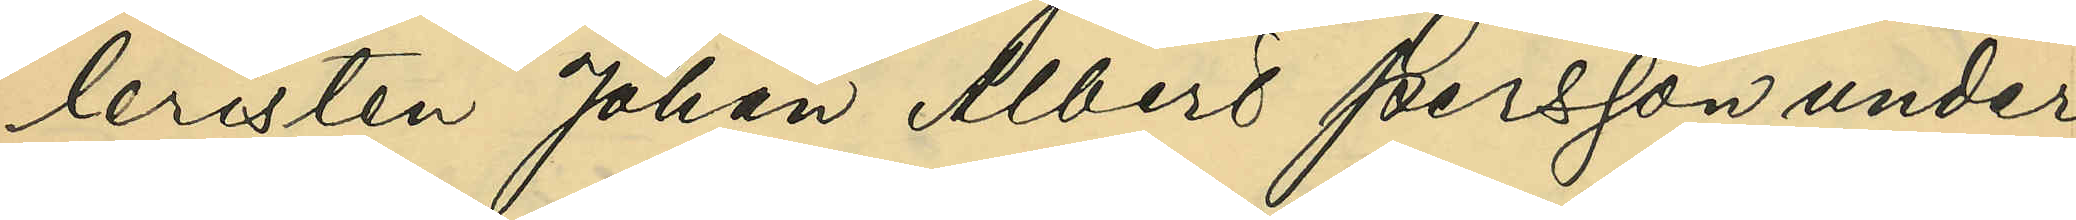leristen Johan Albert Persson under
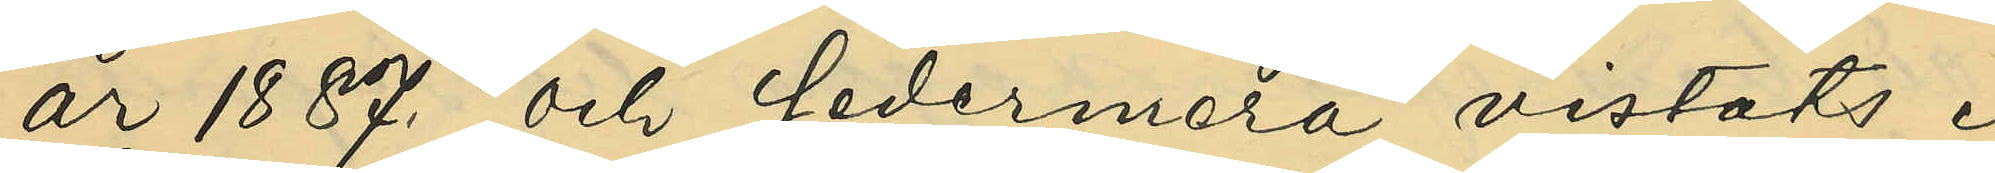år 1887 och sedermera vistats i
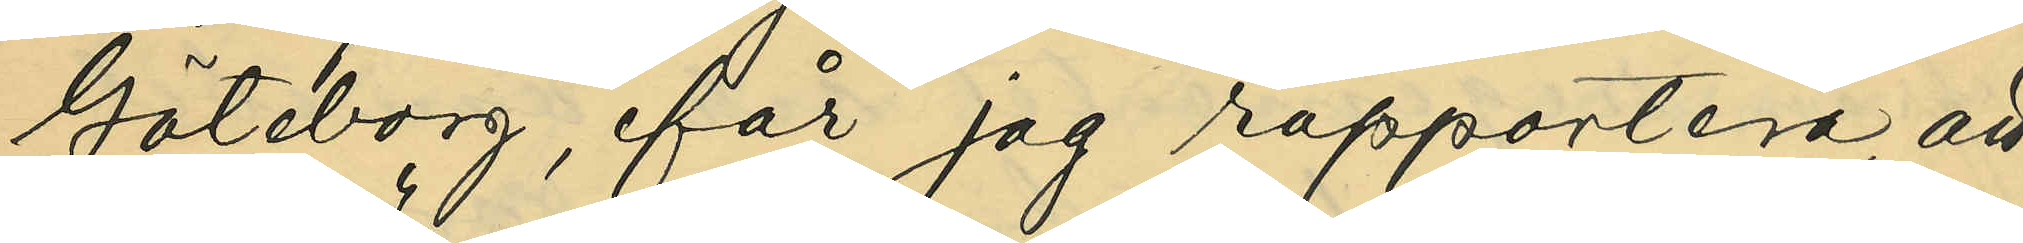Göteborg, får jag rapportera, att
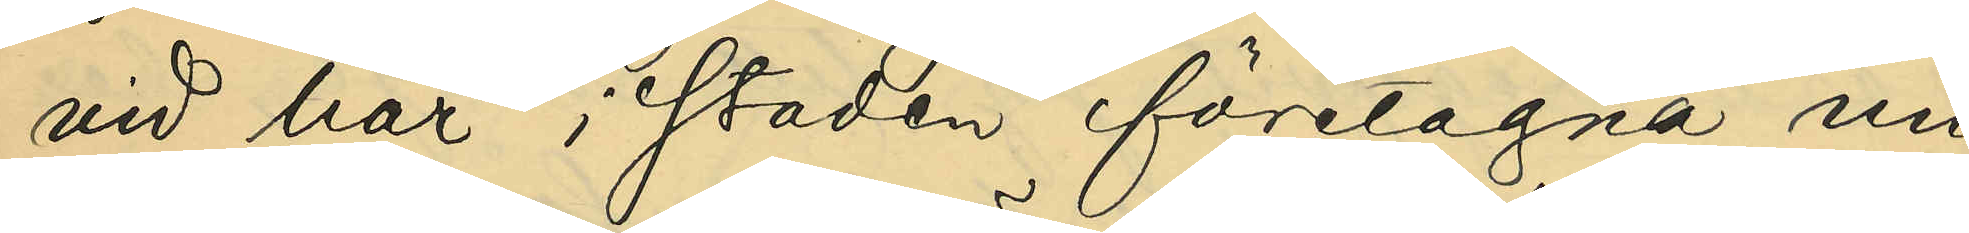vid här i staden företagna un¬
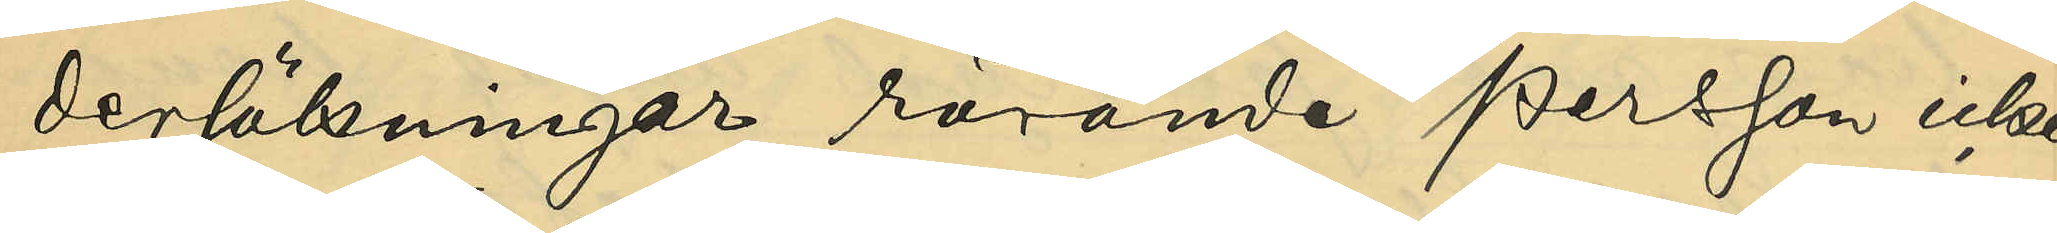dersökningar rörande Persson icke
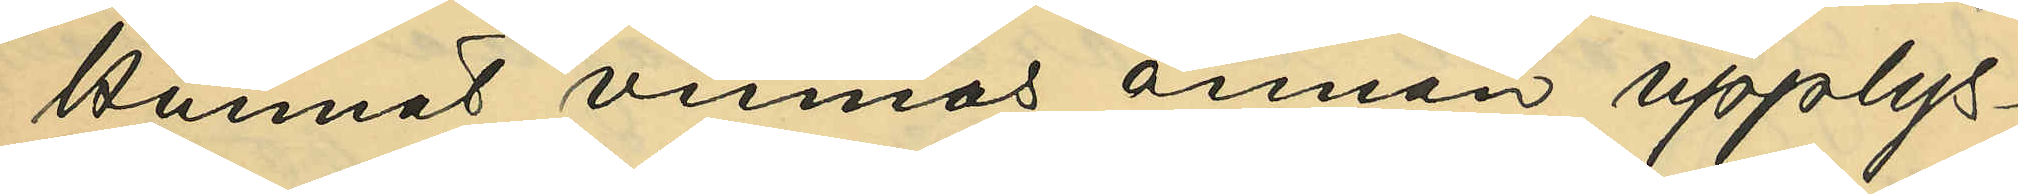kunnat vinnas annan upplys¬
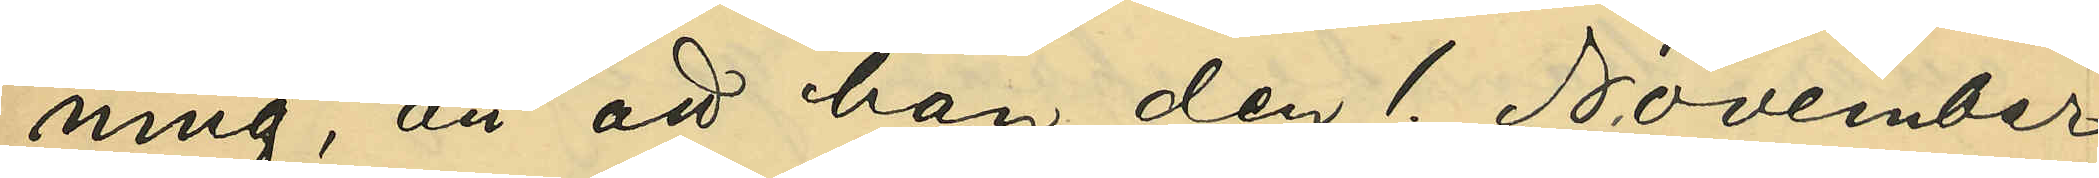ning, än att han den 1 November
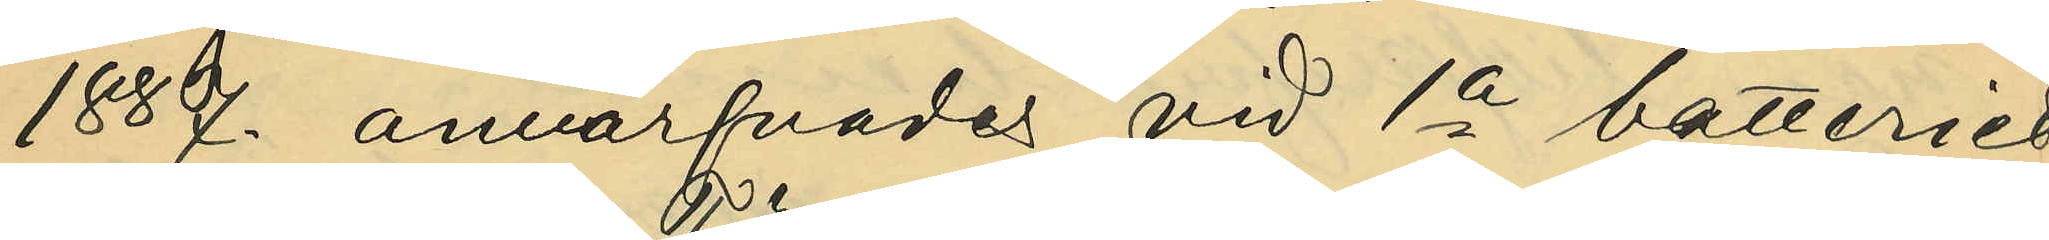1887 anvärfvades vid 1a batteriet
